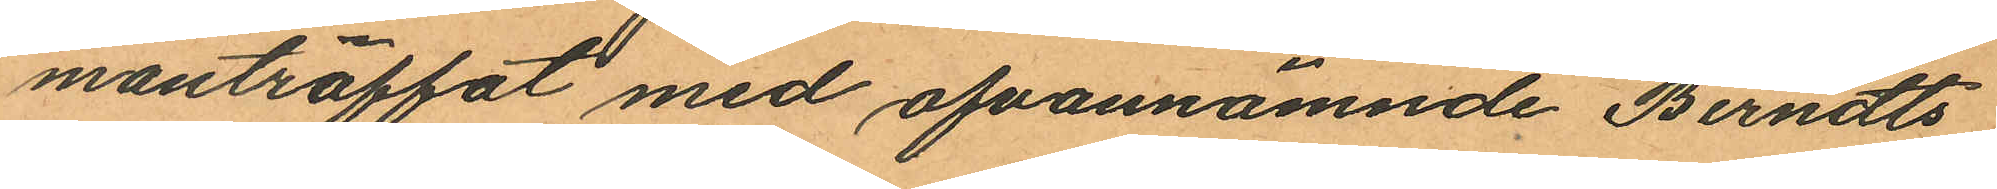manträffat med ofvannämnde Berndts
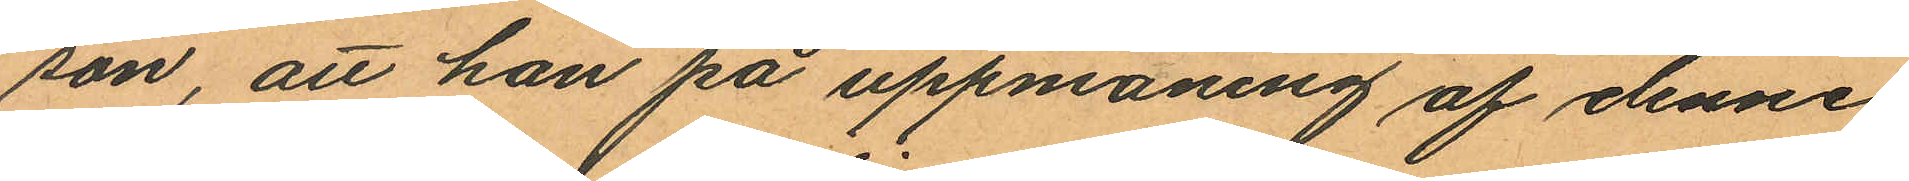son, att han på uppmaning af denne
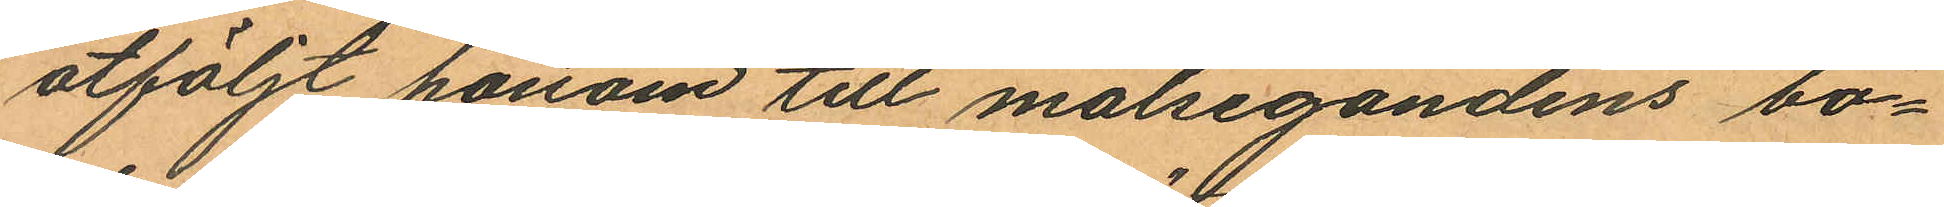åtföljt honom till målsegandens bo¬
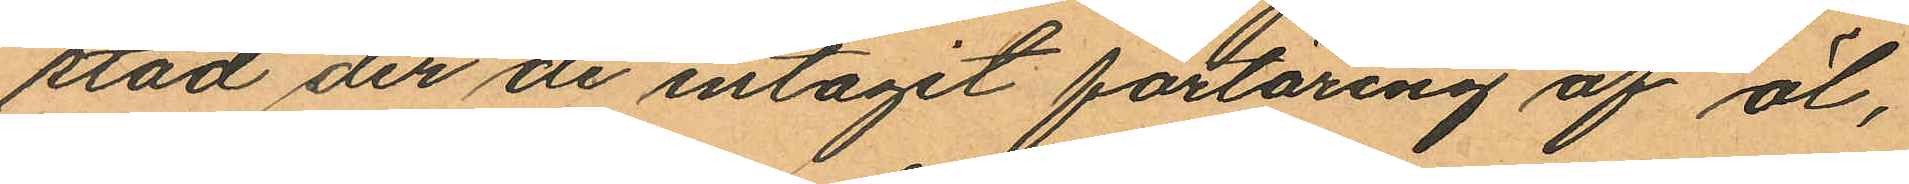stad der de intagit förtäring af öl,
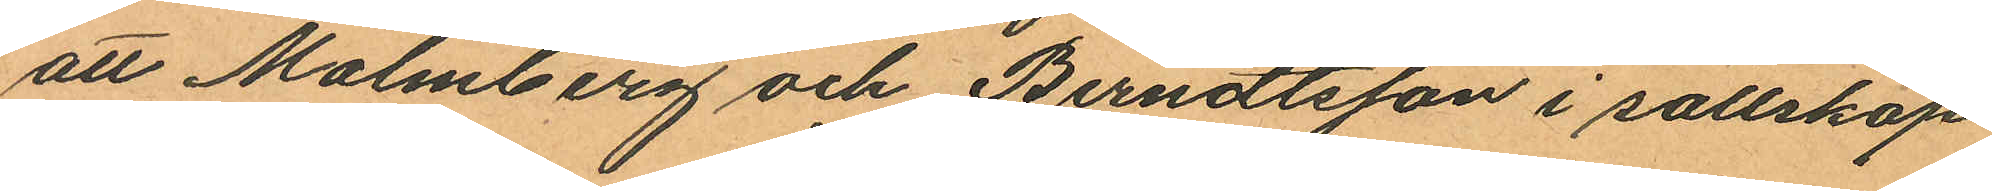att Malmberg och Berndtsson i sällskap
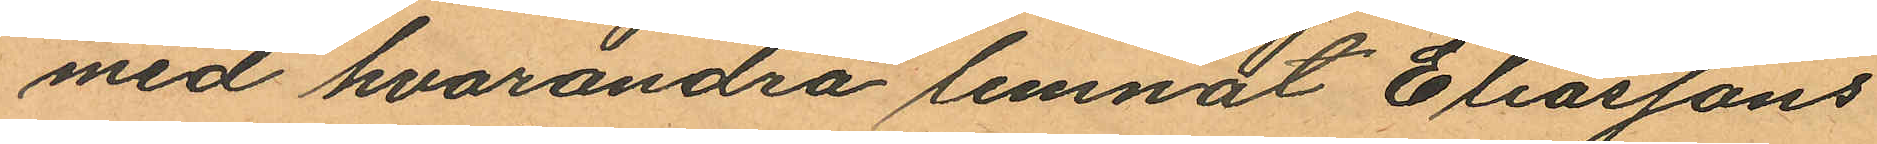med hvarandra lemnat Eliassons
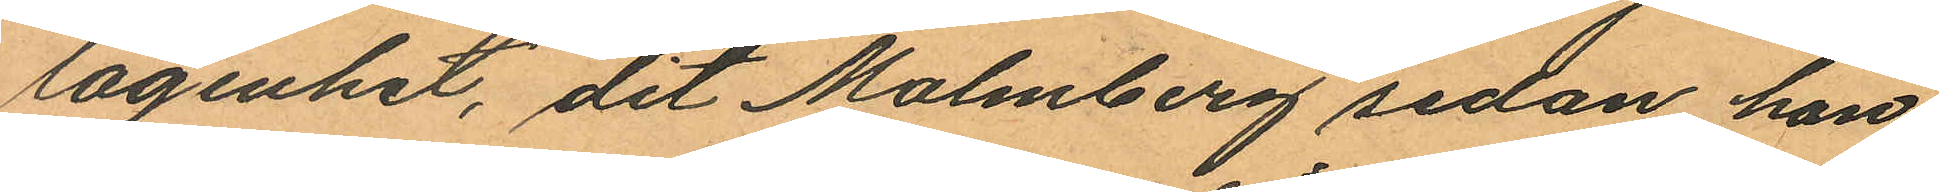lägenhet, dit Malmberg sedan han
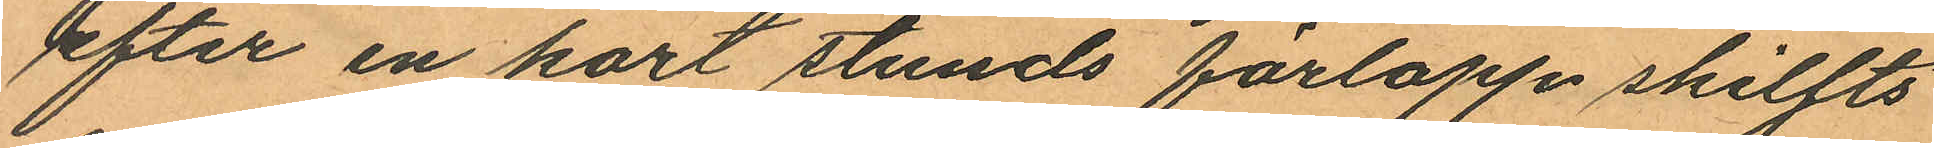efter en kort stunds förlopp skiljts
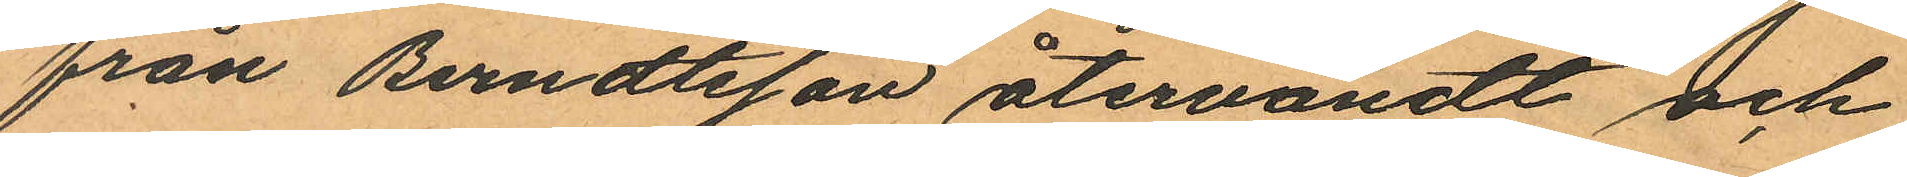från Berndtsson återvändt och
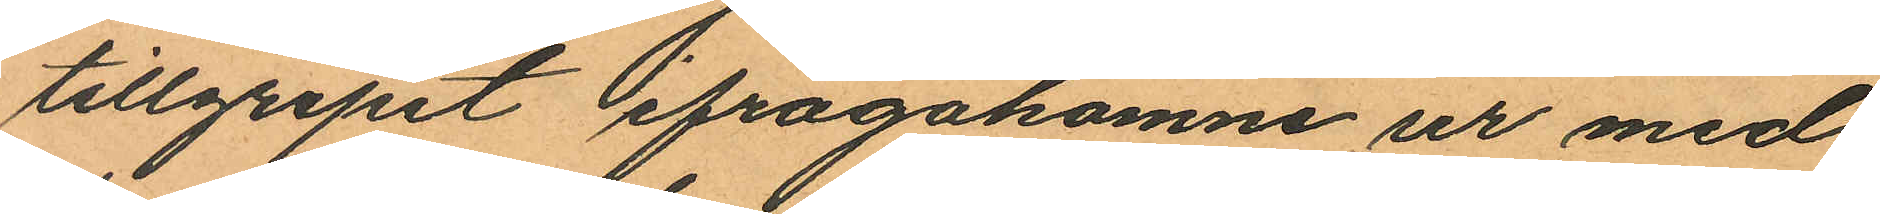tillgripit ifrågakomne ur med
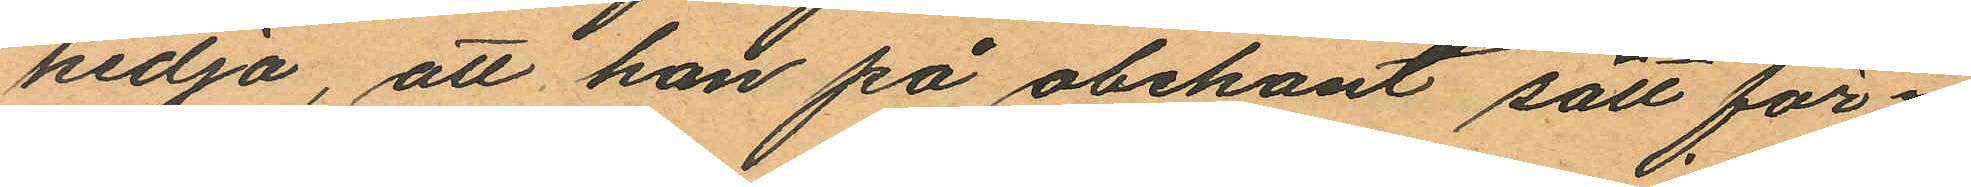kedja, att han på obekant sätt för¬
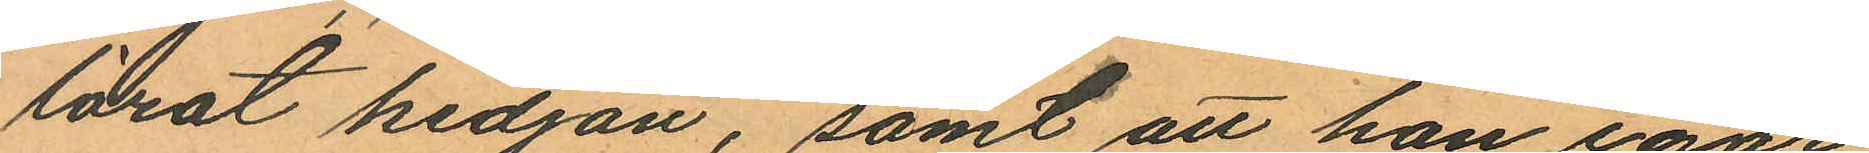lorat kedjan, samt att han igår
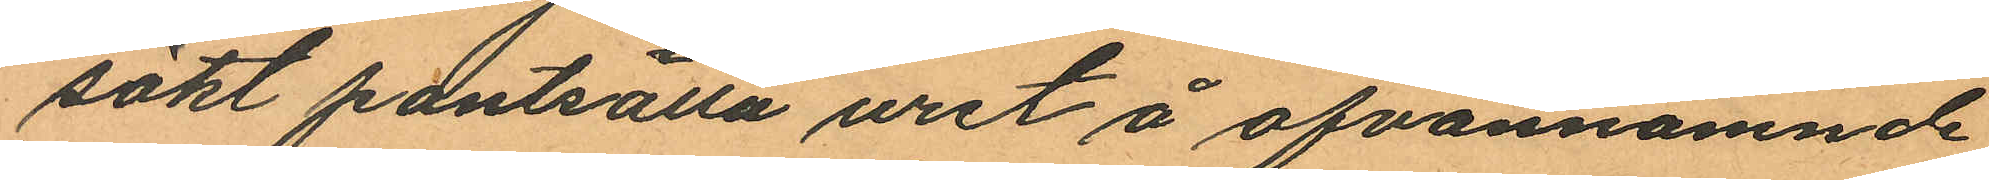sökt pantsätta uret å ofvannämnde
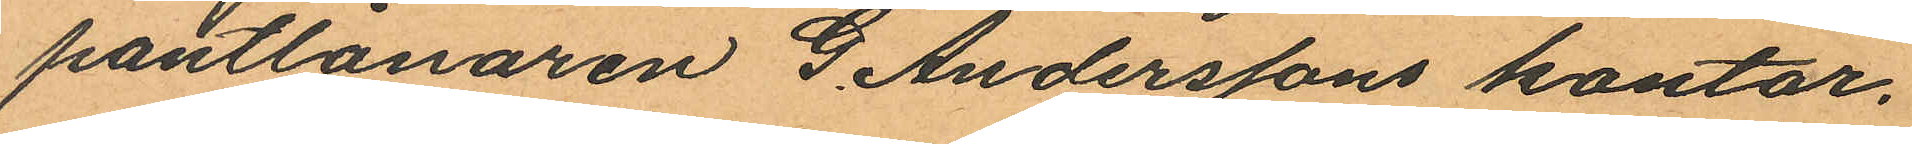pantlånaren G. Anderssons kontor.
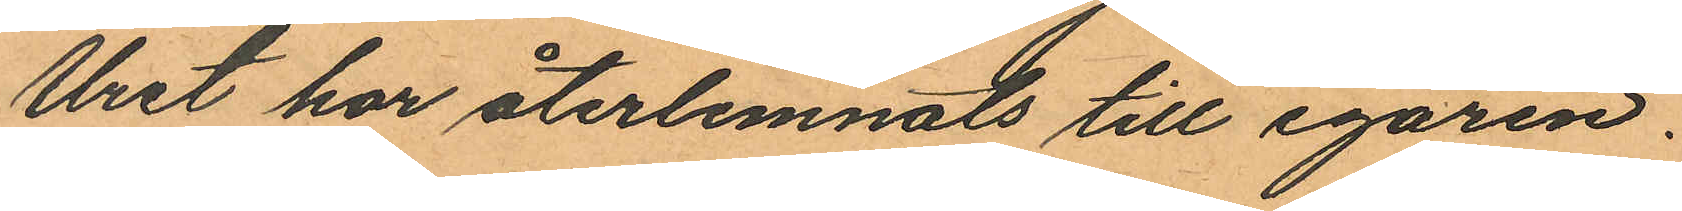Uret har återlemnats till egaren.
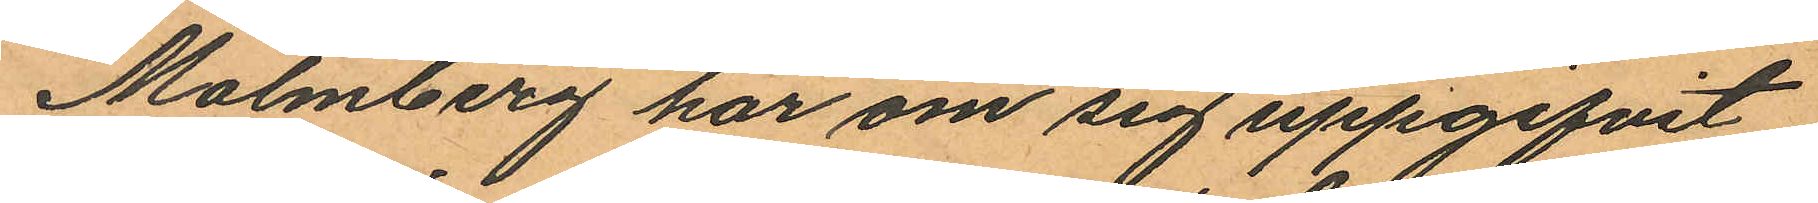Malmberg har om sig uppgifvit
